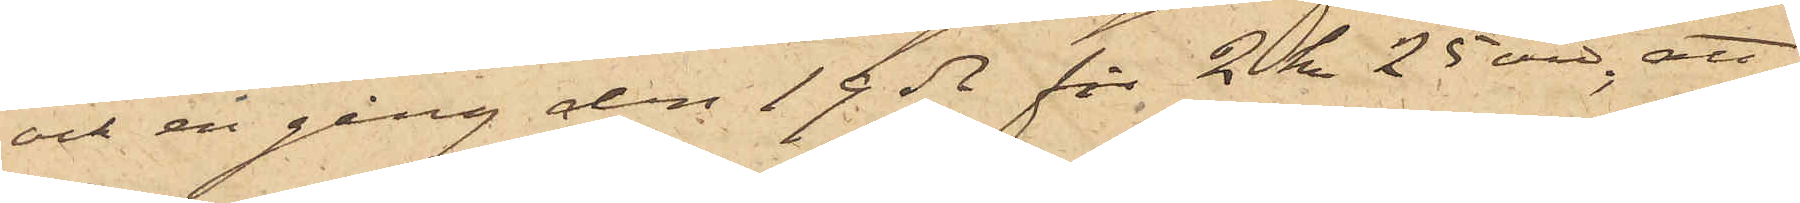och en gång den 19 ds för 2 kr 25 öre; att
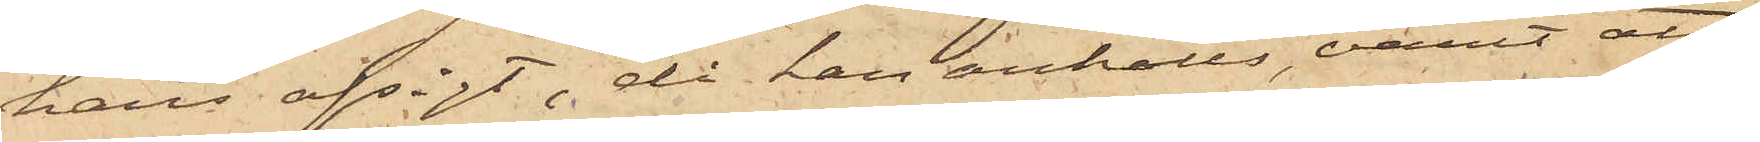hans afsigt, då han anhölls, varit att
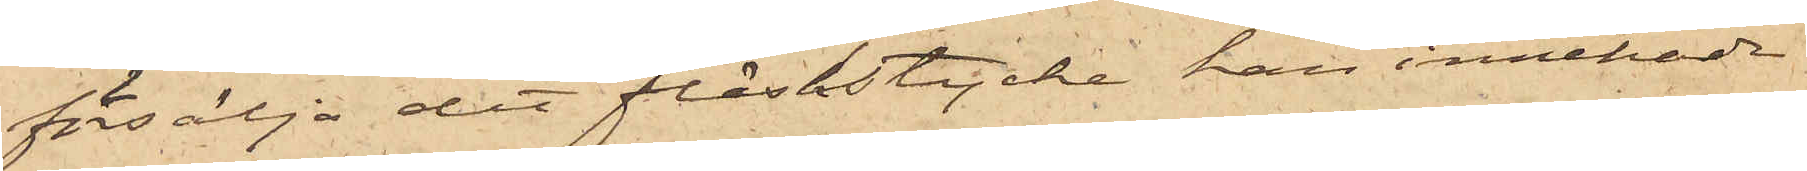försälja det fläskstycke han innehade
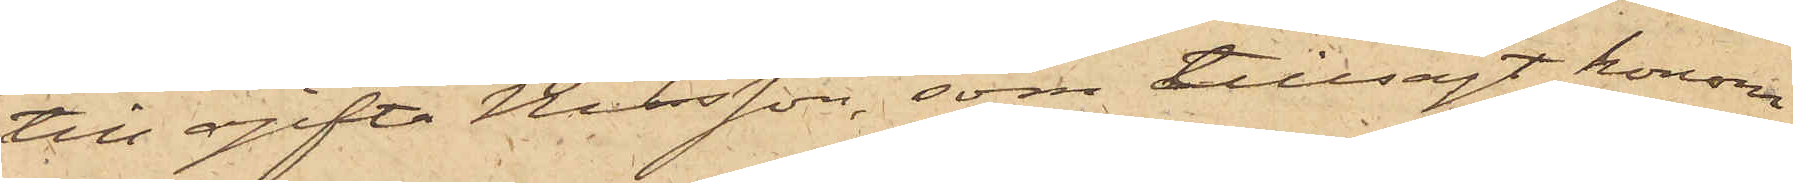till ogifta Nilsson, som tillsagt honom
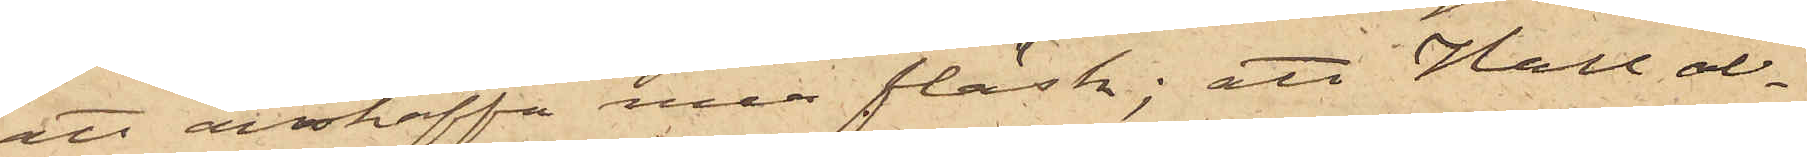ett anskaffa mer fläsk; att Hall al¬
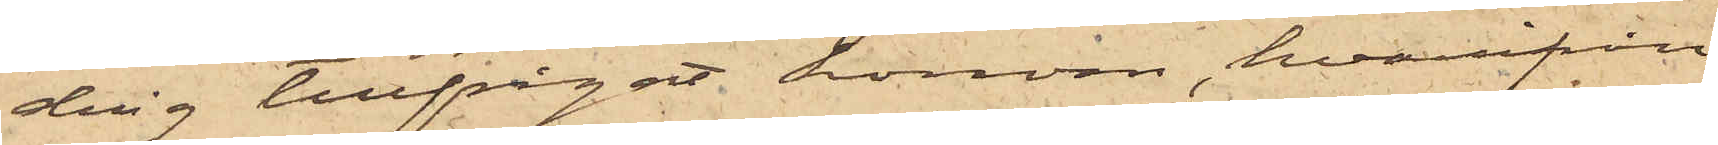drig tillfrågat honom, hvarifrån
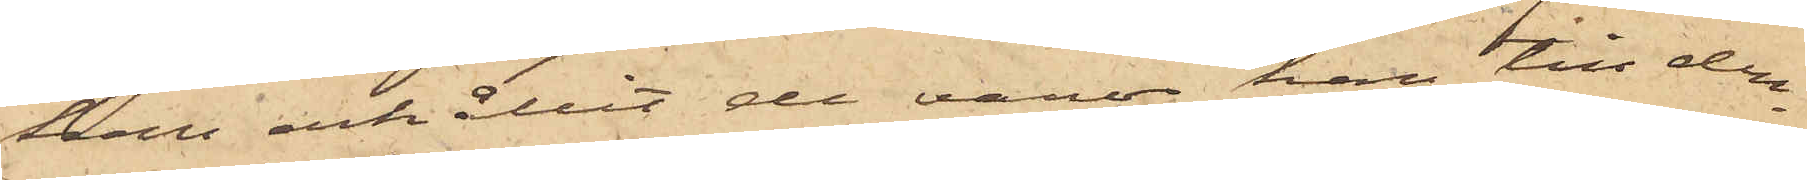han erhållit de varor han till den¬
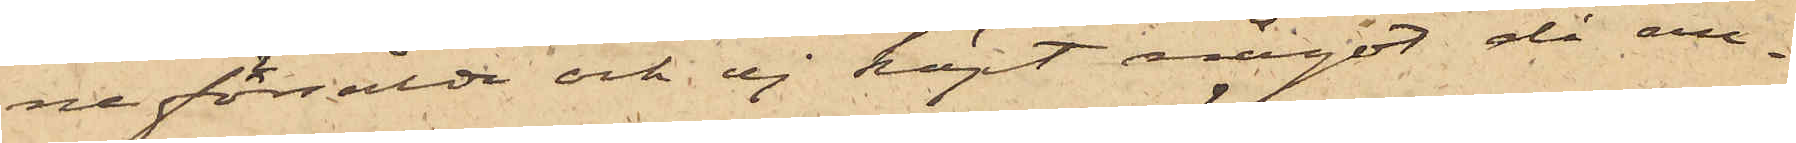ne försålde och ej köpt något då an¬
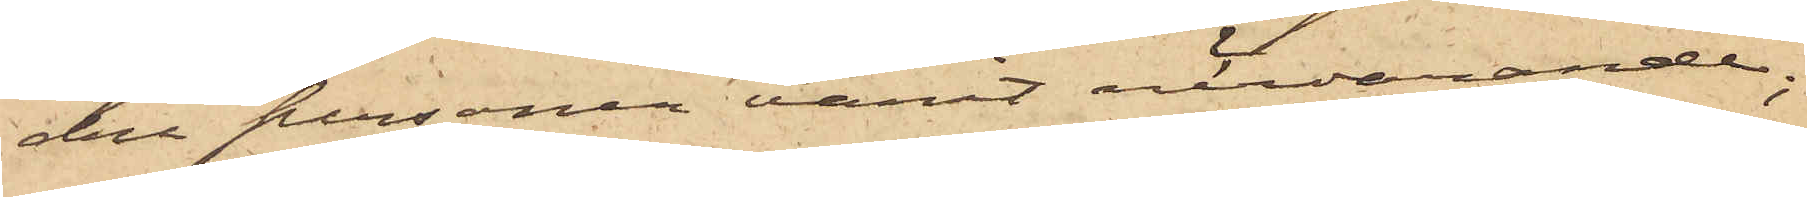dra personer varit närvarande;
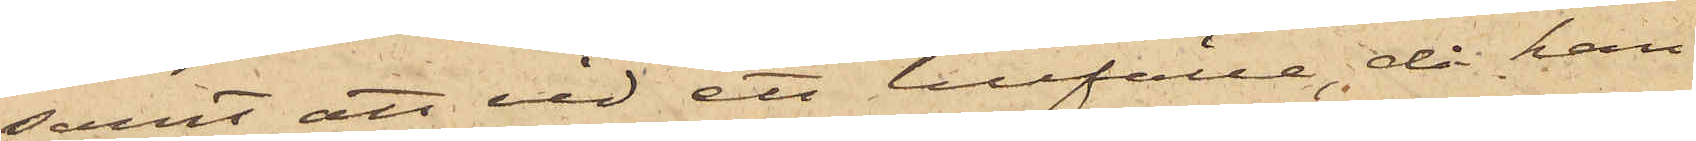samt att vid ett tillfälle, då han
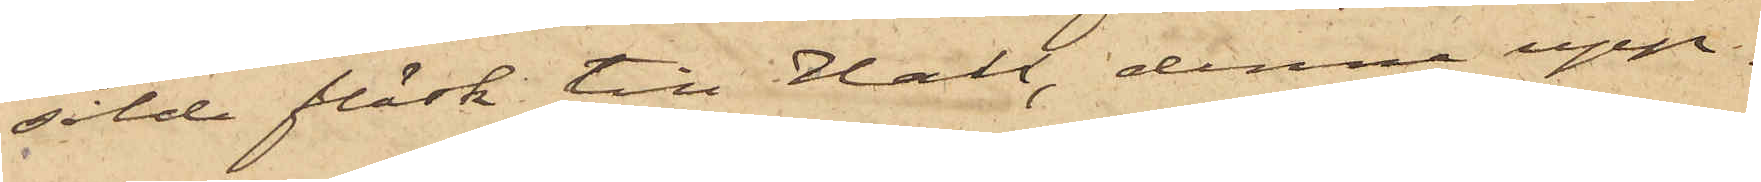sålde fläsk till Hall, denne upp¬
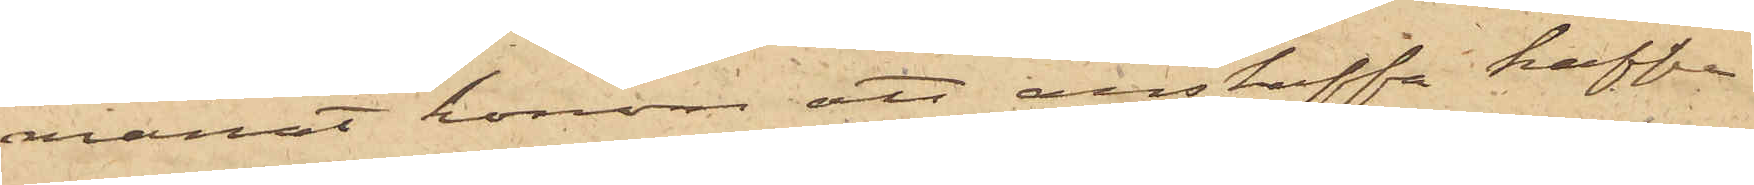manat honom att anskaffa kaffe
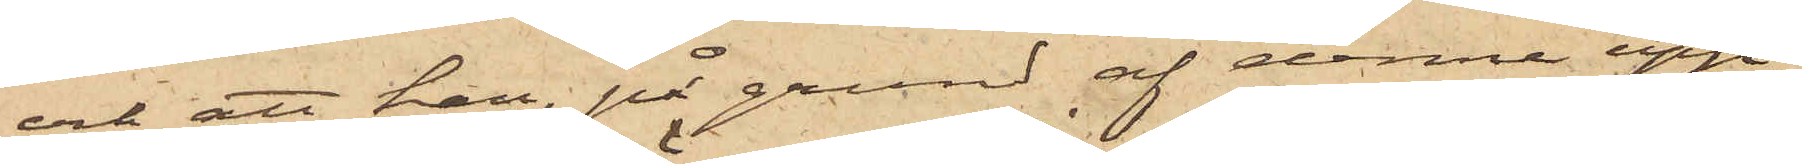och att han, på grund af denna upp¬
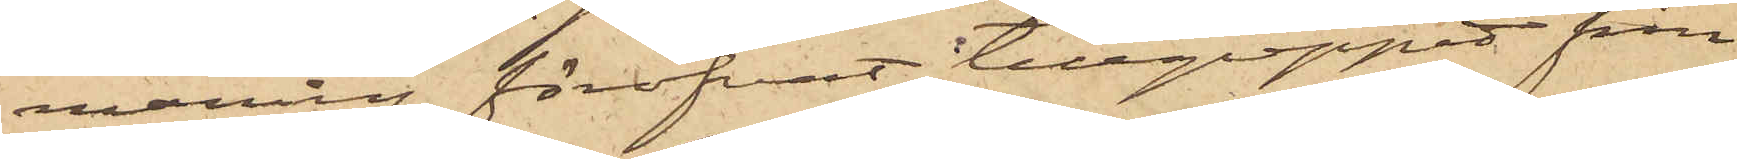maning föröfvat tillgreppet från
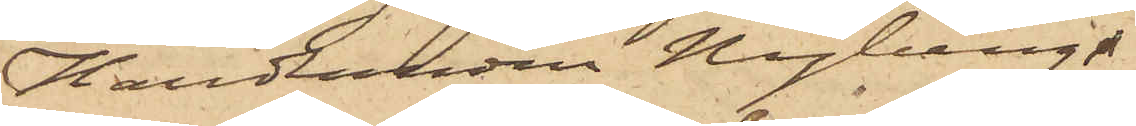Handlanden Hagberg.
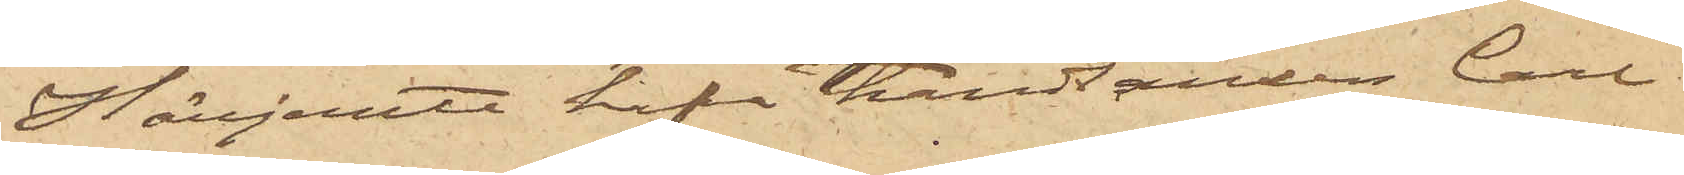Härjemte hafva handlanden Carl
